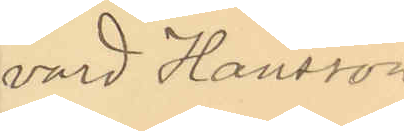vard Hansson.
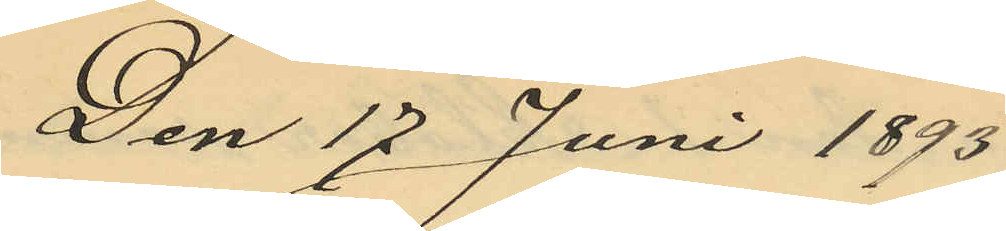Den 17 Juni 1893
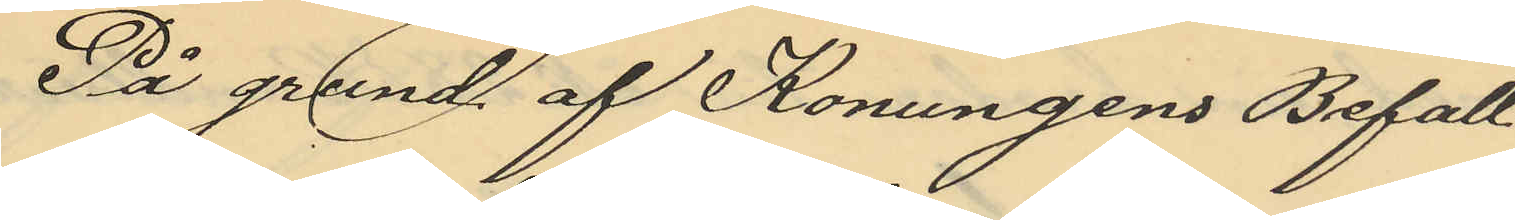På grund af Konungens Befall¬
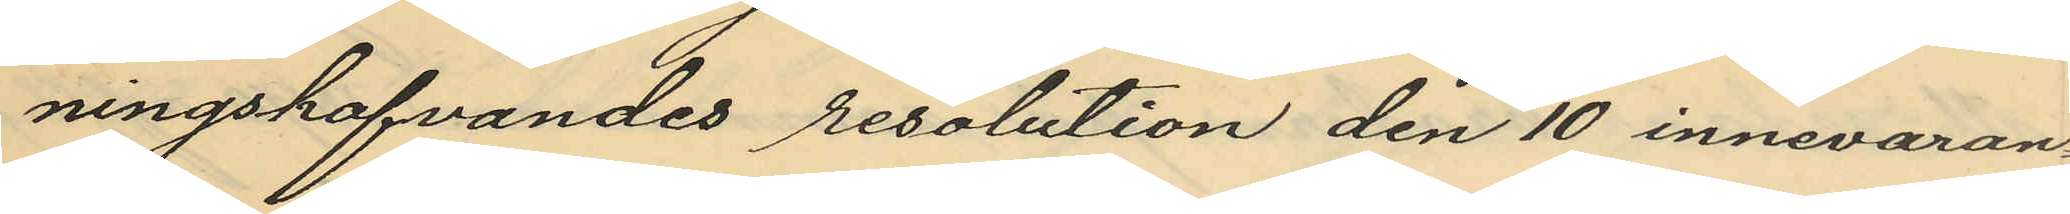ningshafvandes resolution den 10 innevaran¬
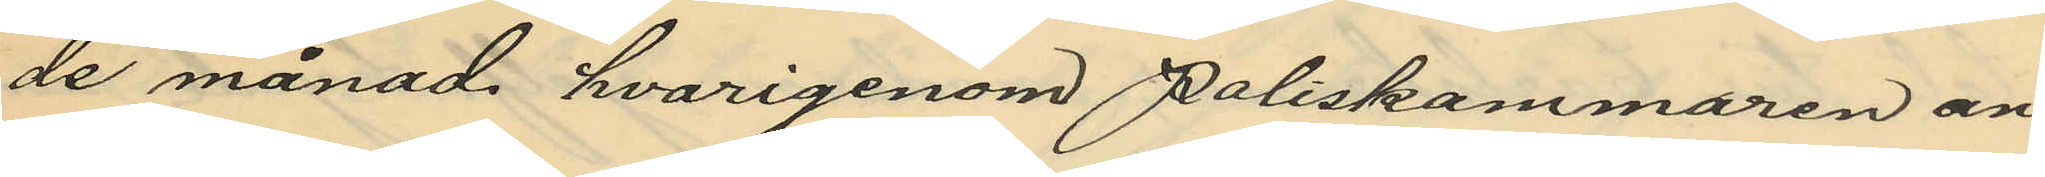de månad hvarigenom Poliskammaren an¬
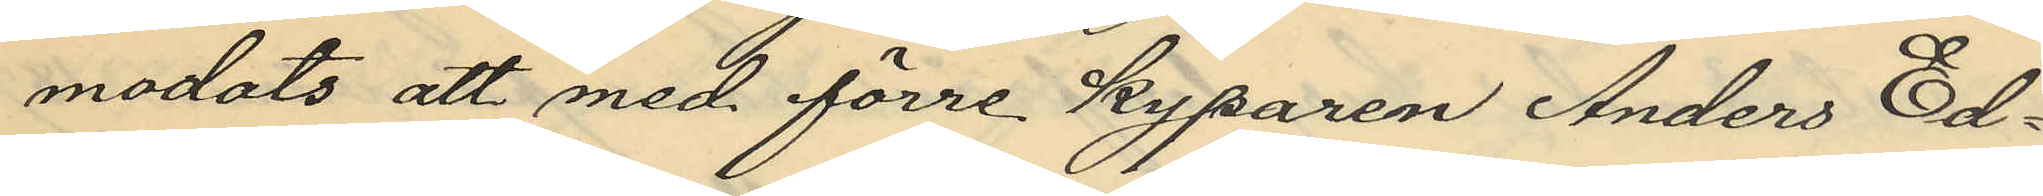modats att med förre kyparen Anders Ed¬
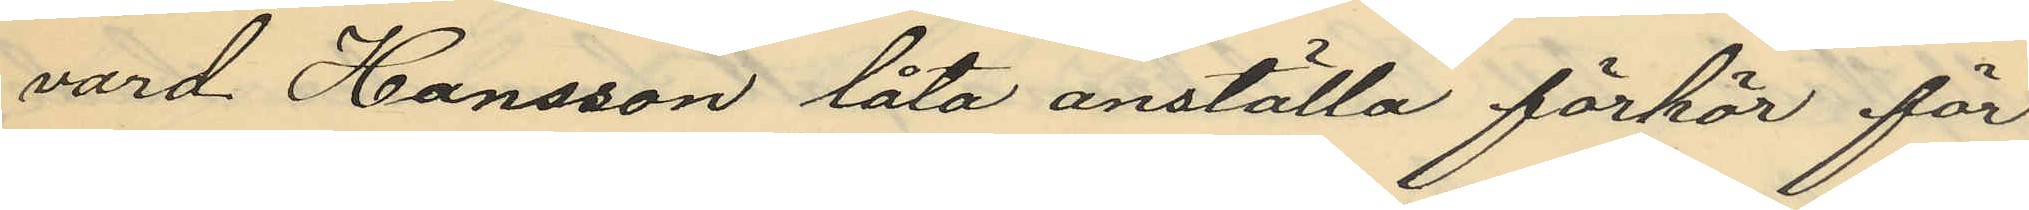vard Hansson låta anställa förhör för
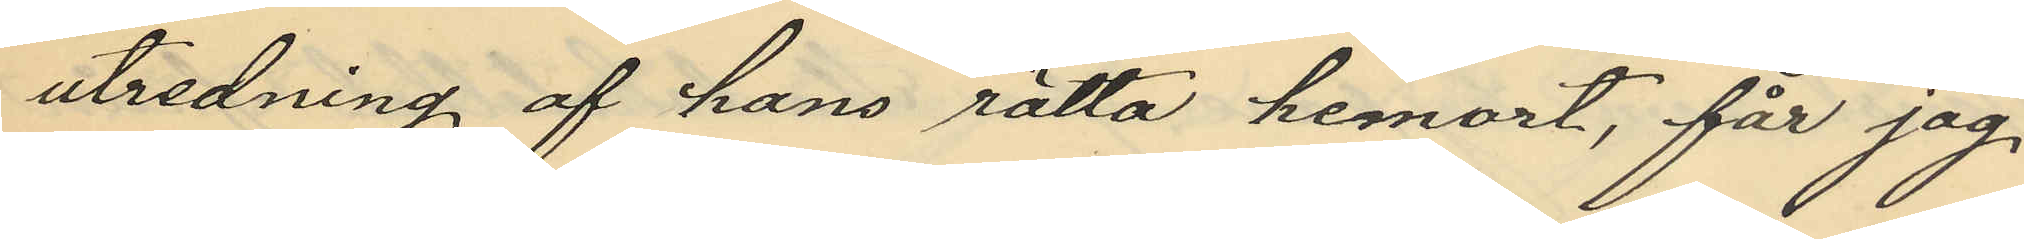utredning af hans rätta hemort, får jag,
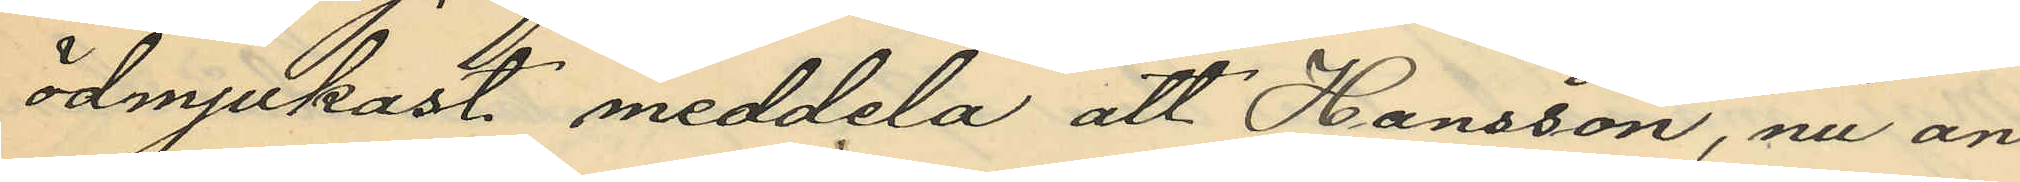ödmjukast meddela att Hansson, nu an¬
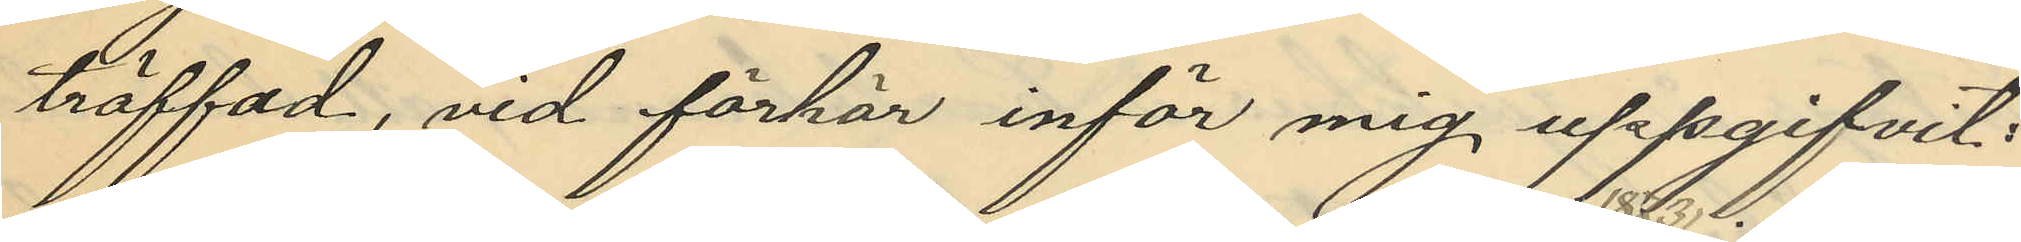träffad, vid förhör inför mig, uppgifvit:
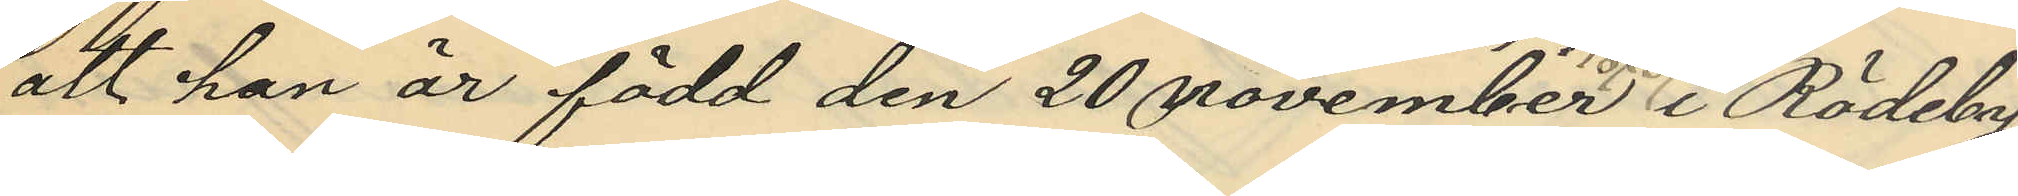att han är född den 20 november 1873 i Rödeby
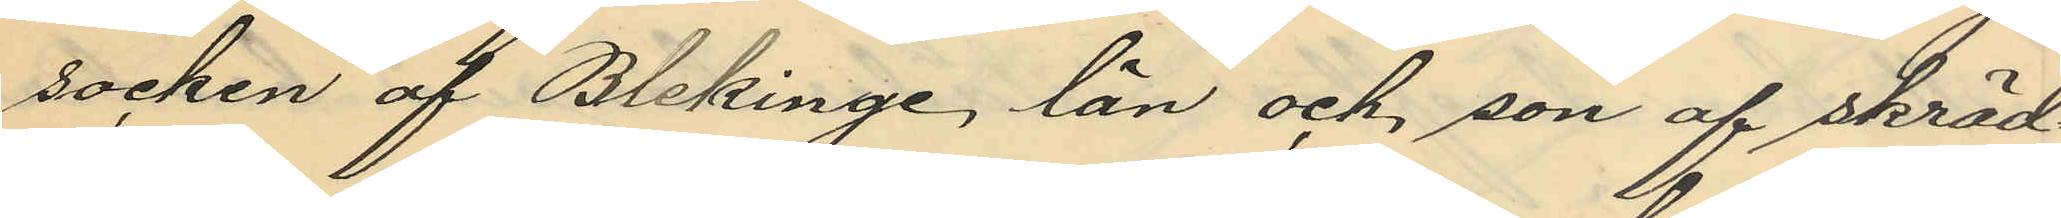socken af Blekinge, län och, son af skräd¬
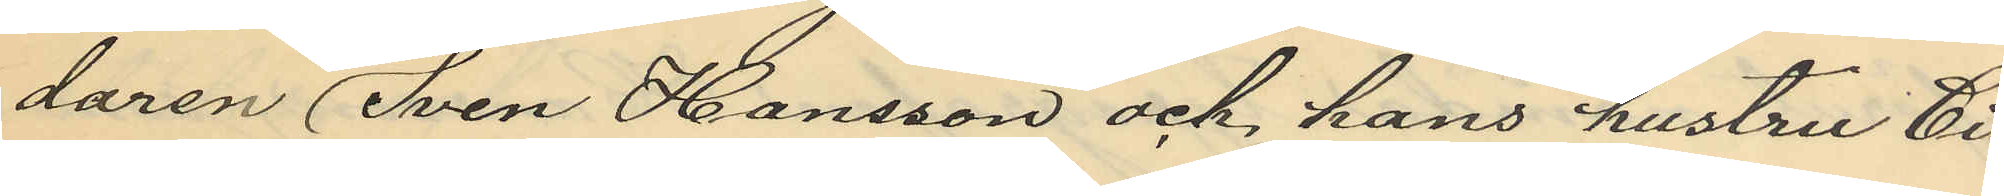daren Sven Hansson och hans hustru Ci¬
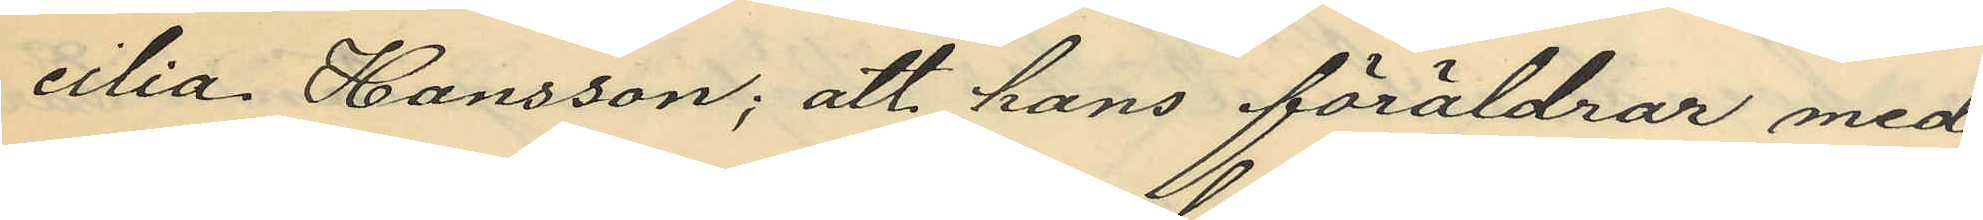cilia Hansson; att hans föräldrar med
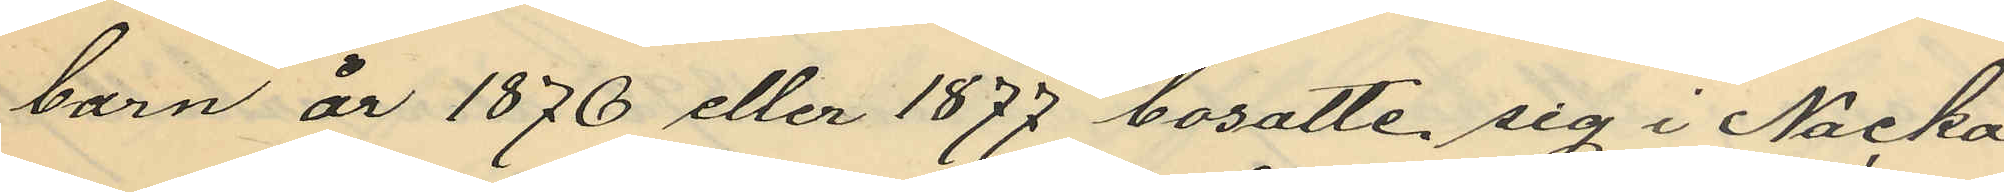barn år 1876 eller 1877 bosatte sig i Nacka
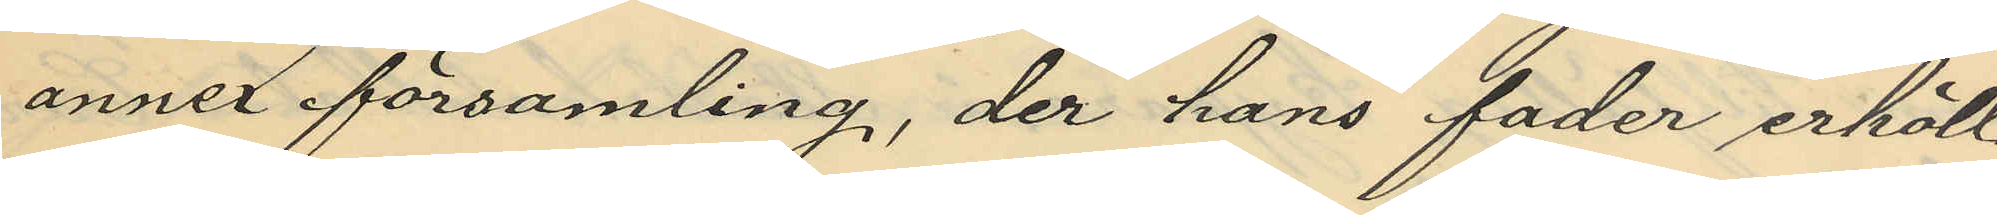annex församling, der hans fader erhöll
